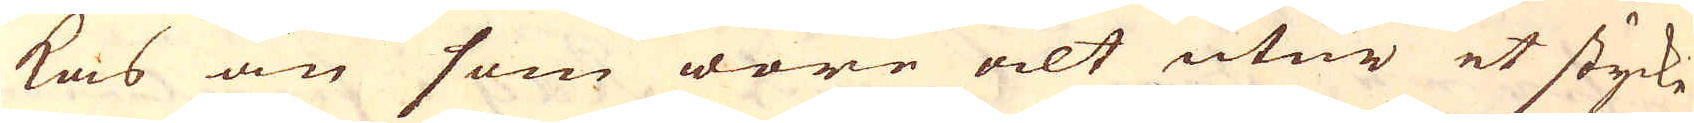kas än som wore alt utur et styke
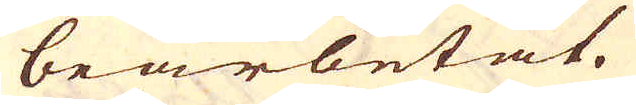bearbetat.
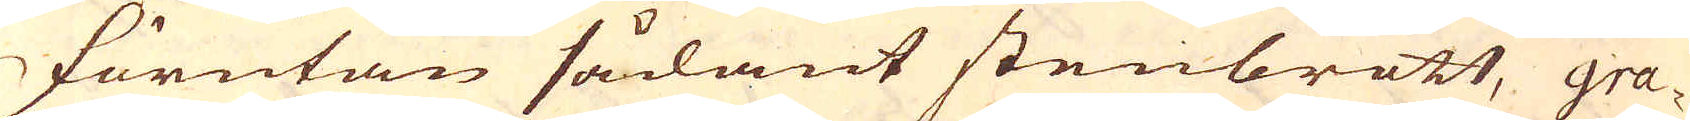Förutan sådant stenbrott, gra-
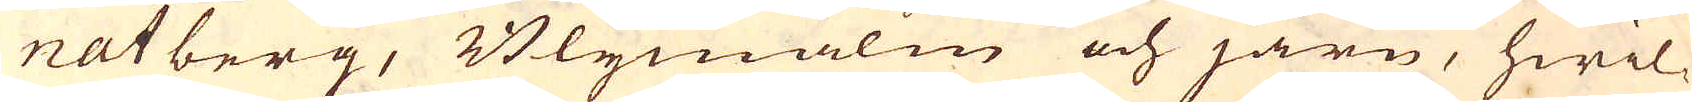natberg, Blymalm och järn, hwil-
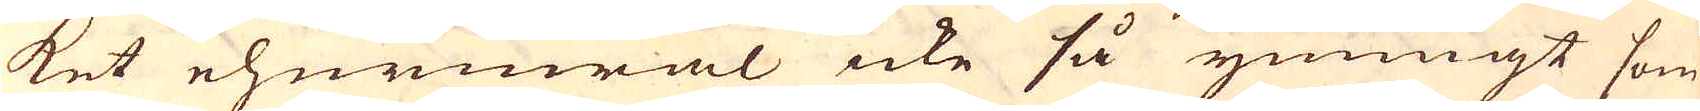ket ehuruwäl icke så ymnigt som
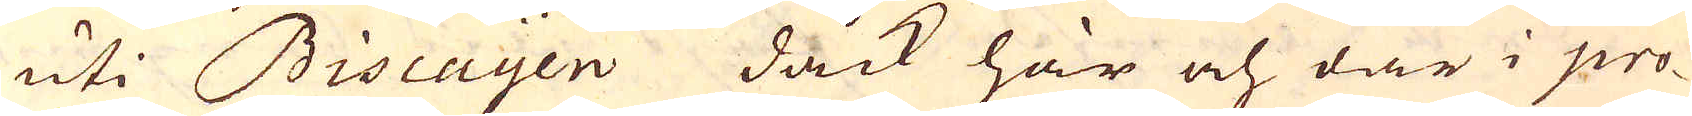uti Biscayen dåck här och där i pro-
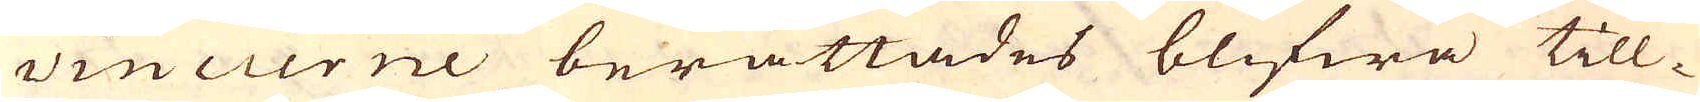vincierne berättades blifwa till-
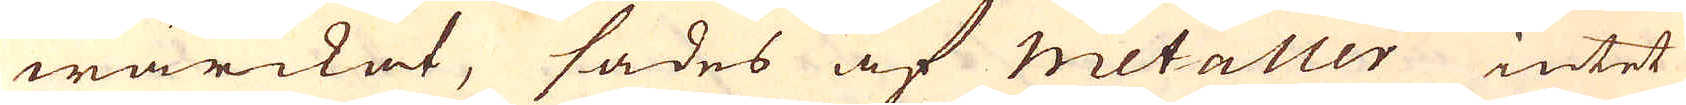wärckat, sades af Metaller intet
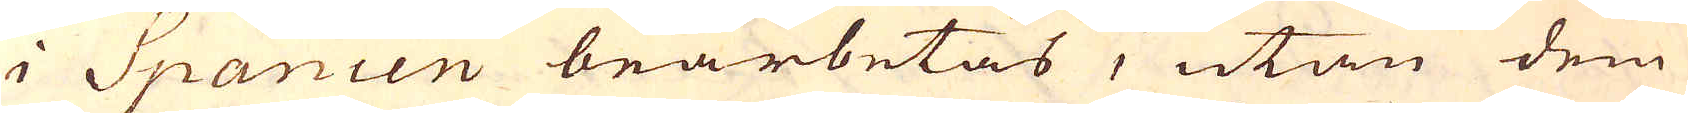i Spanien bearbetas, utan dem
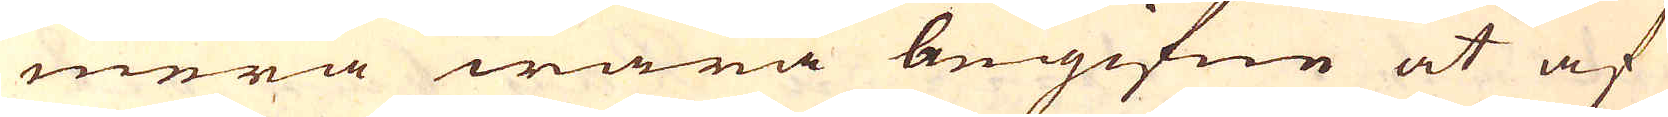mera wara begifne at af
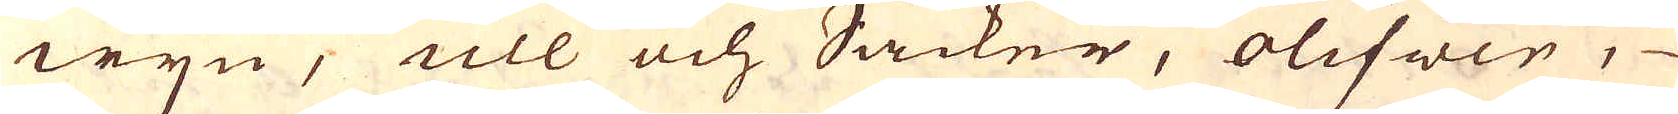wjn, ull och Såcker, olifwer,
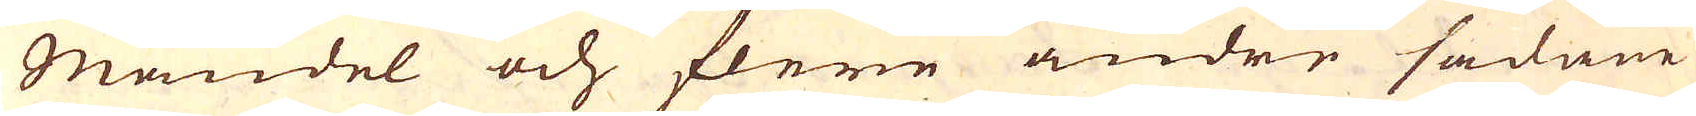Mandel och flere andre sådane
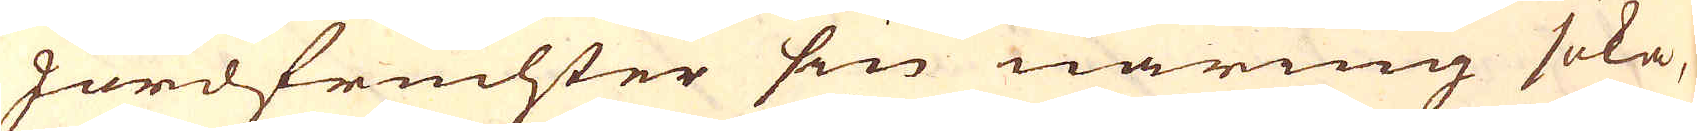Jordfruchter sin näring söka,
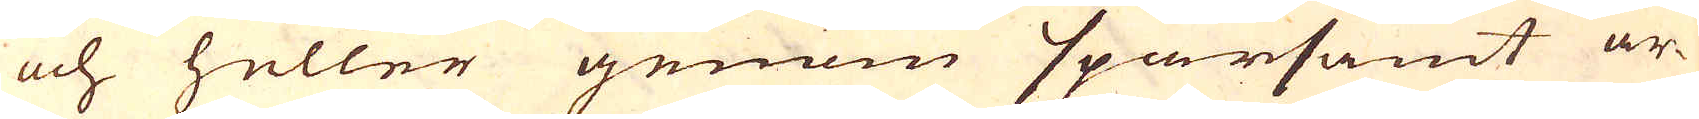och heller genom sparsamt ar-
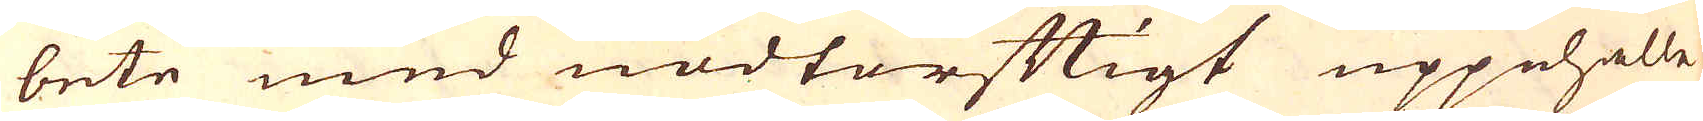bete med nödtorftigt uppehälle
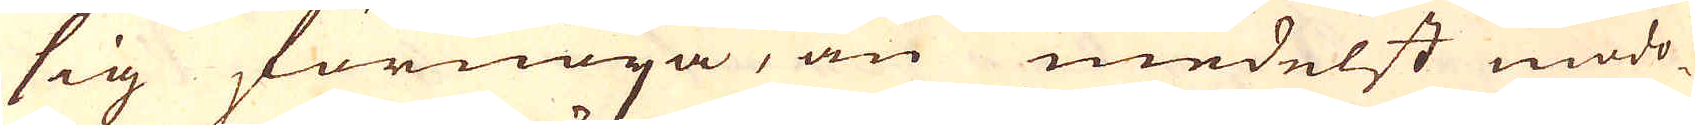sig förnöya, än medelst mödo-
